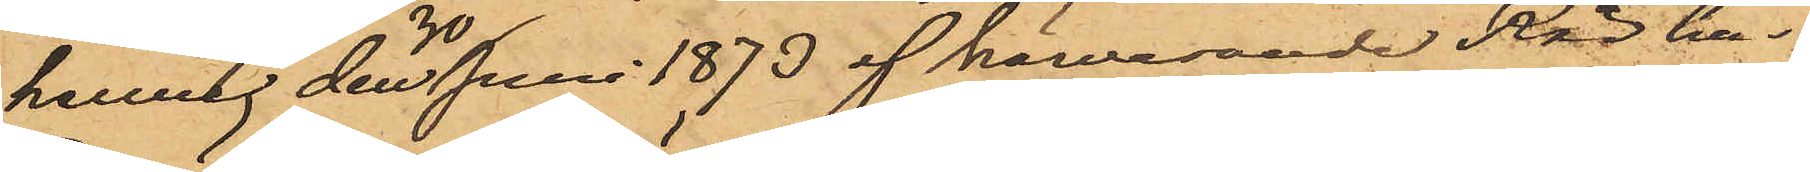henne den 30 Juni 1873 af härvarande Rådhus¬
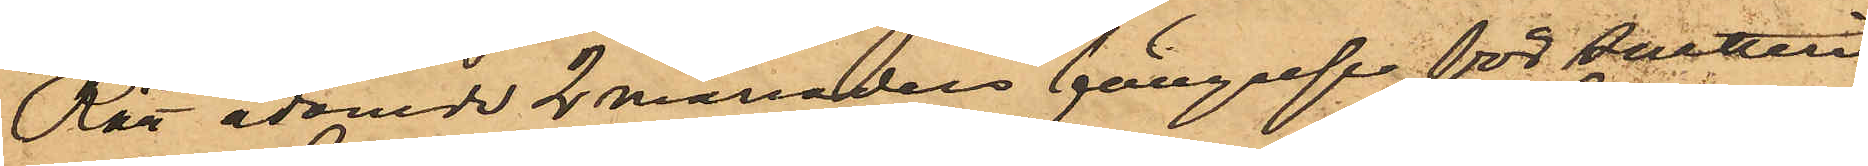Rätt ådömde 2 månaders fängelse för snatteri
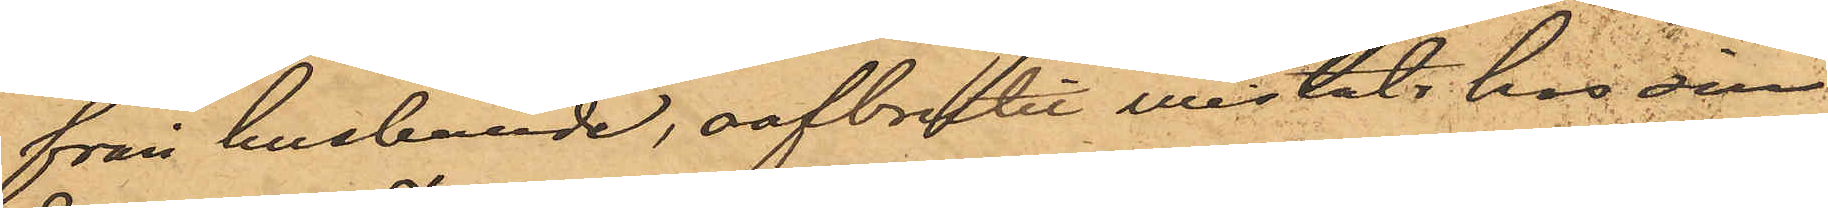från husbonde, oafbrutet vistats hos sin
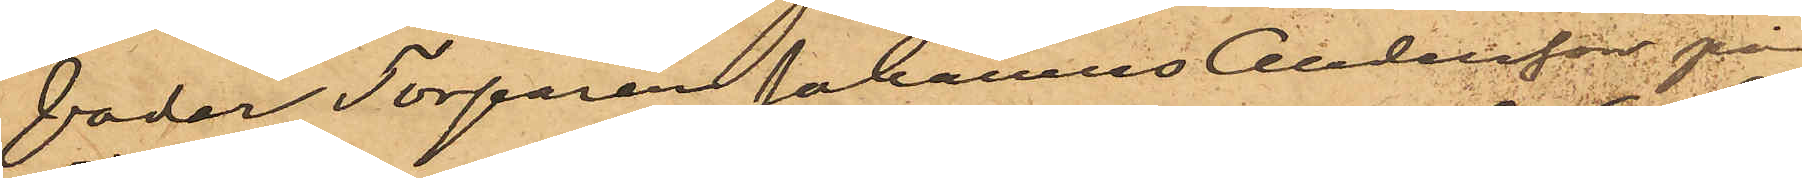fader Torparen Johannes Andersson på
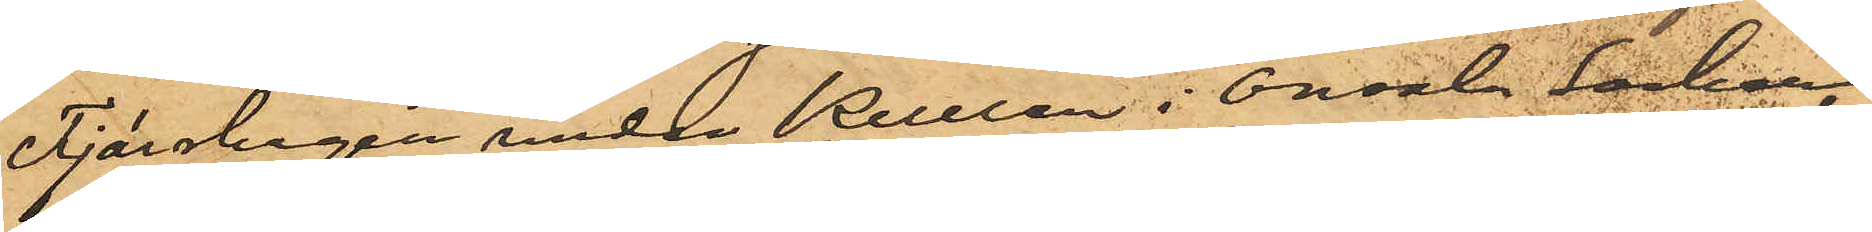Tjärskogen under Kullen i Onsala Socken,
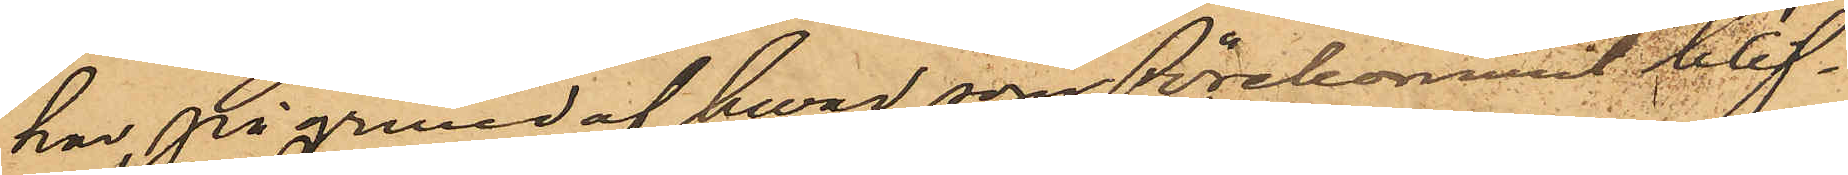har, på grund af hwad som förekommit blif¬
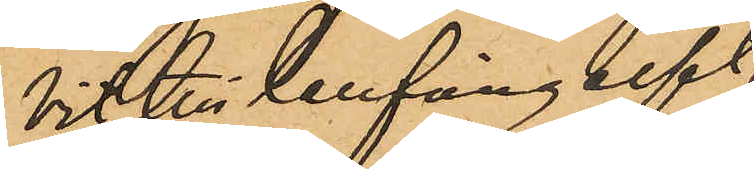vit till Cellfängelset
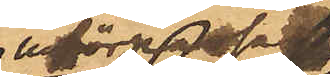införpassad
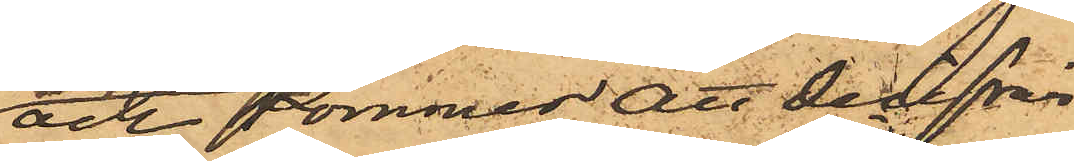och kommer att derifrån
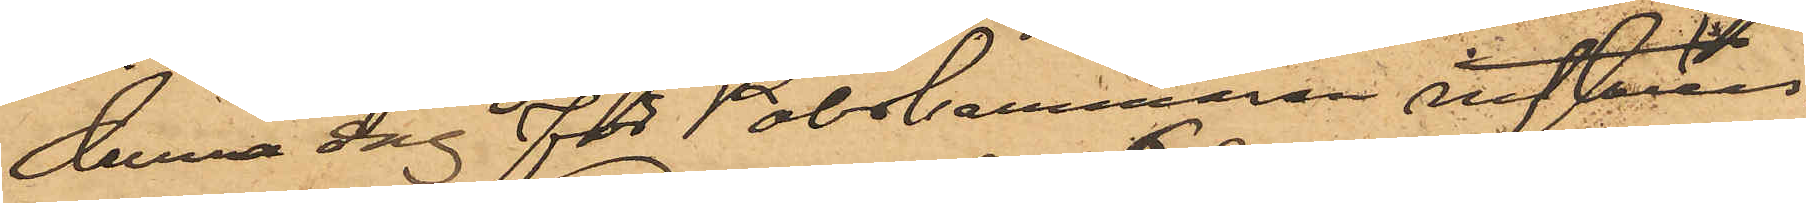denna dag för Poliskammaren inställas.
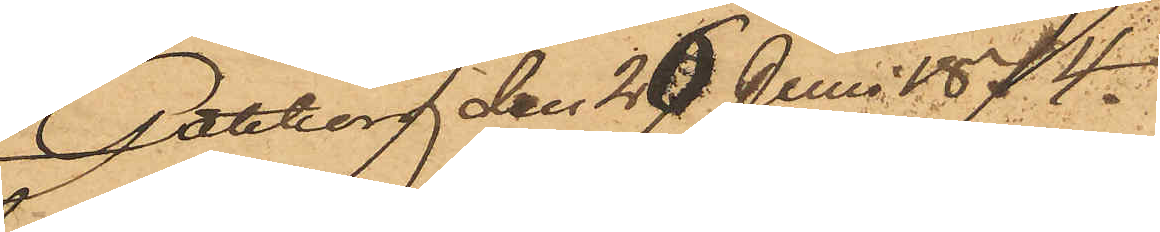Göteborg den 26 Juni 1874.
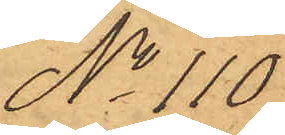No 110.
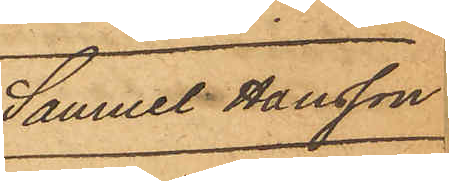Samuel Hansson
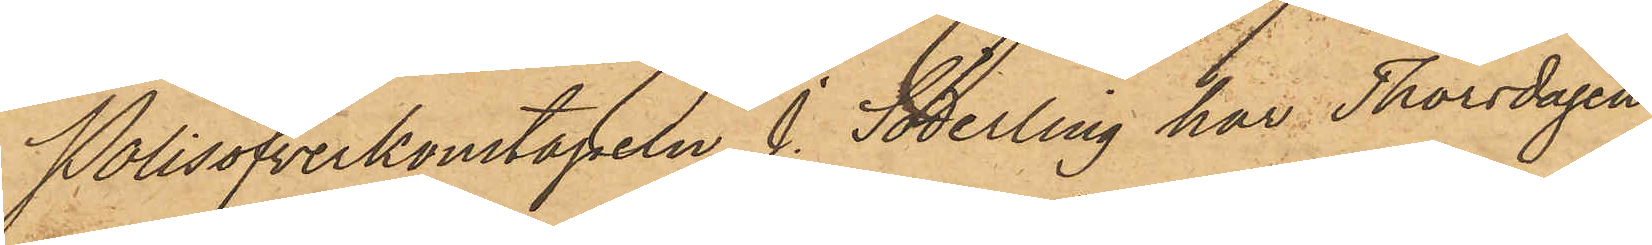Polisöfverkonstapeln J. Söderling har Thorsdagen
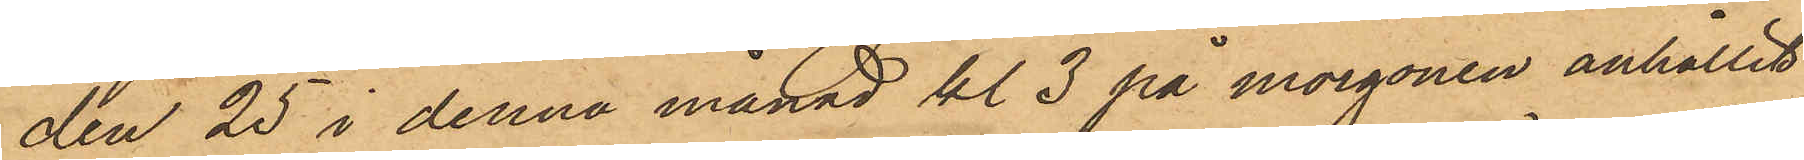den 25 i denna månad kl. 3 på morgonen anhållit
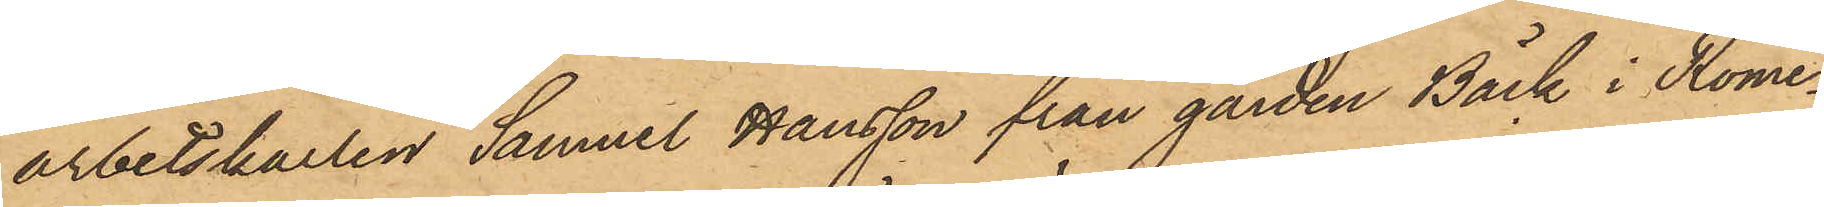arbetskarlen Samuel Hansson från gården Bäck i Rome¬
